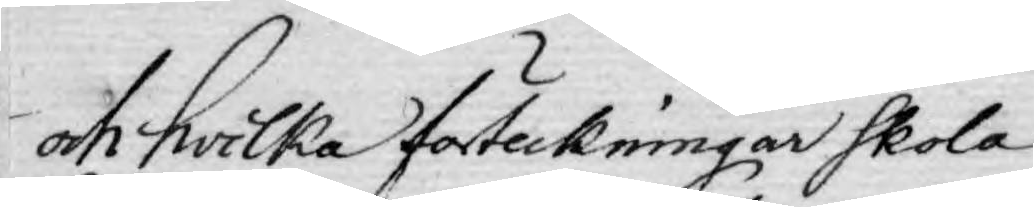och hwilka förteckningar skola
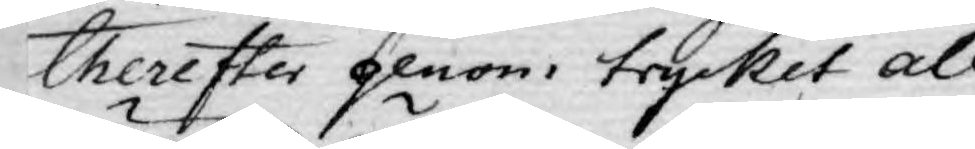therefter genom trycket all¬
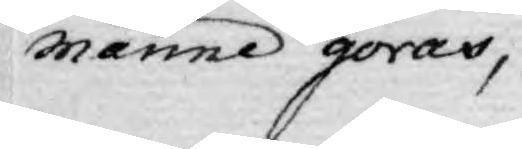männe göras,
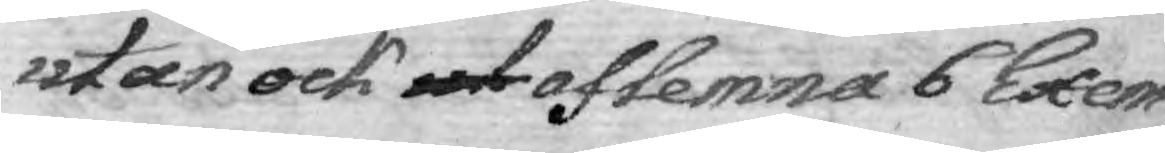utan ock ut aflemna 6 Exem¬
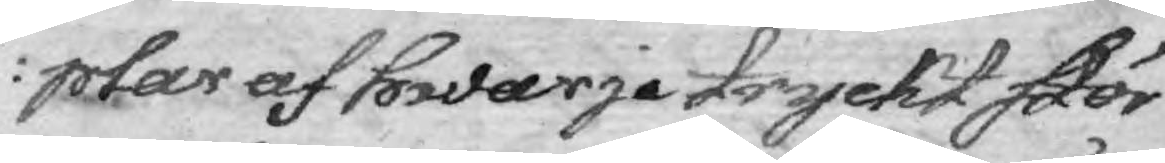plar af hwarje tryckt stör¬
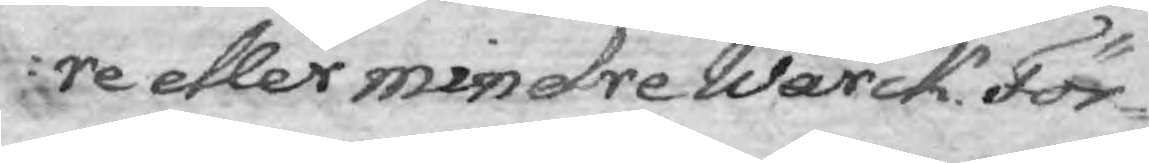re eller mindre Wärck. För¬
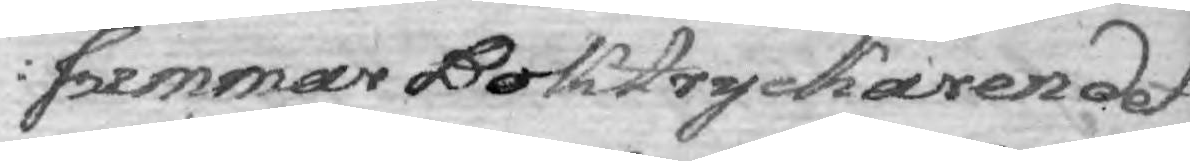summar Boktryckaren det
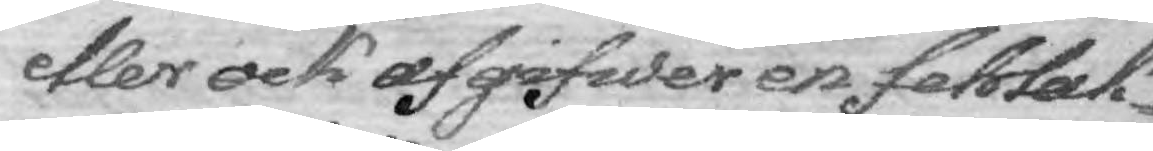eller ock afgifwer en fehlak¬
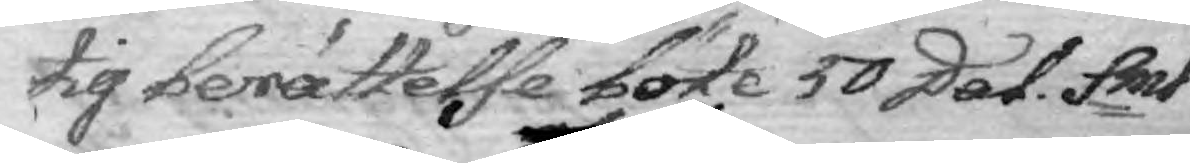tig berättelse böte 50 Dal. Smt.
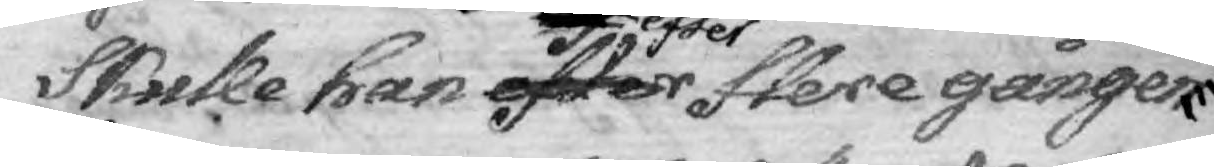Skulle han efter efter flere gångers
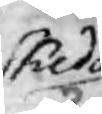skedd
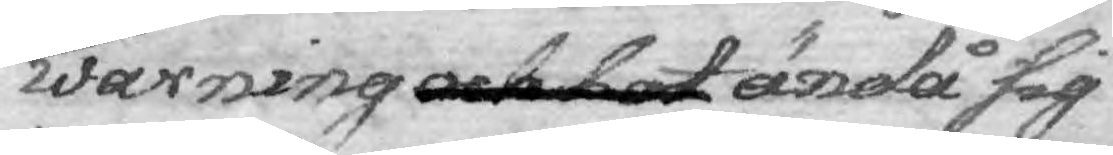warning och bot ändå sig
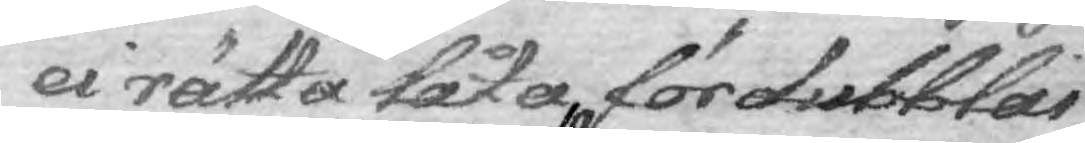ei rätta låta, fördubblas
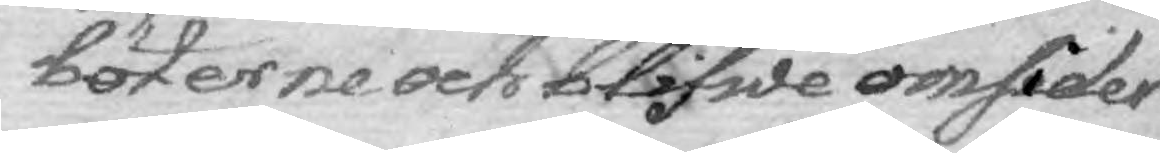böterne och blifwe omsider
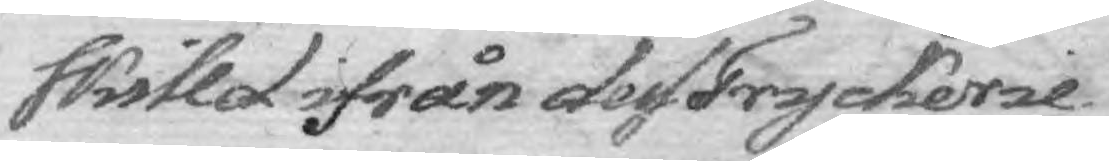skilld ifrån dess Tryckerie
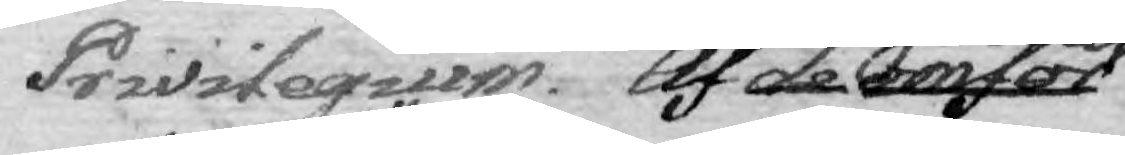Privilegium. Af de omför¬
